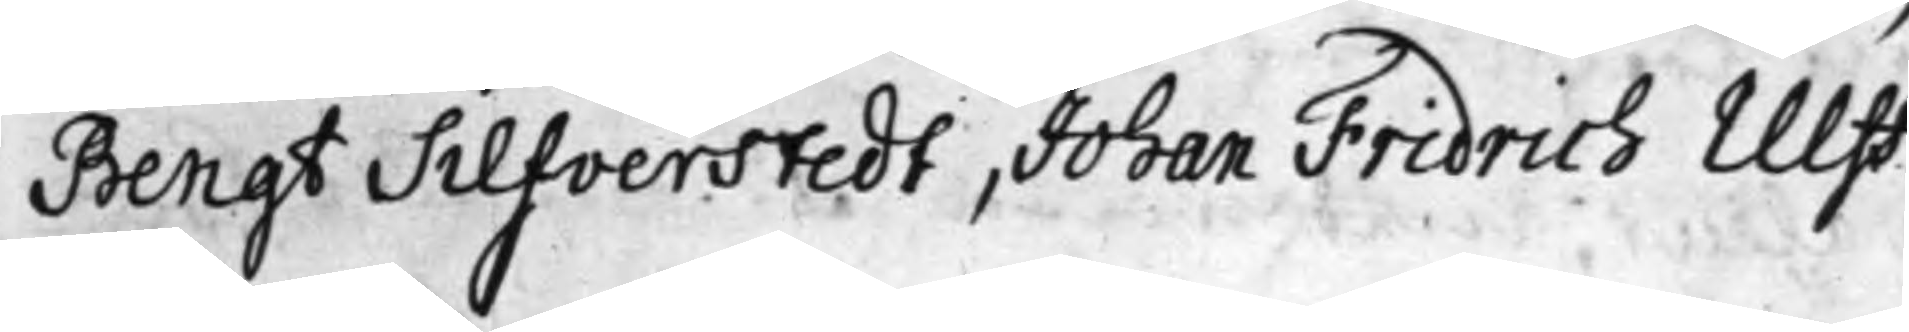Bengt Silfverstedt, Johan Fridrich Ulff.
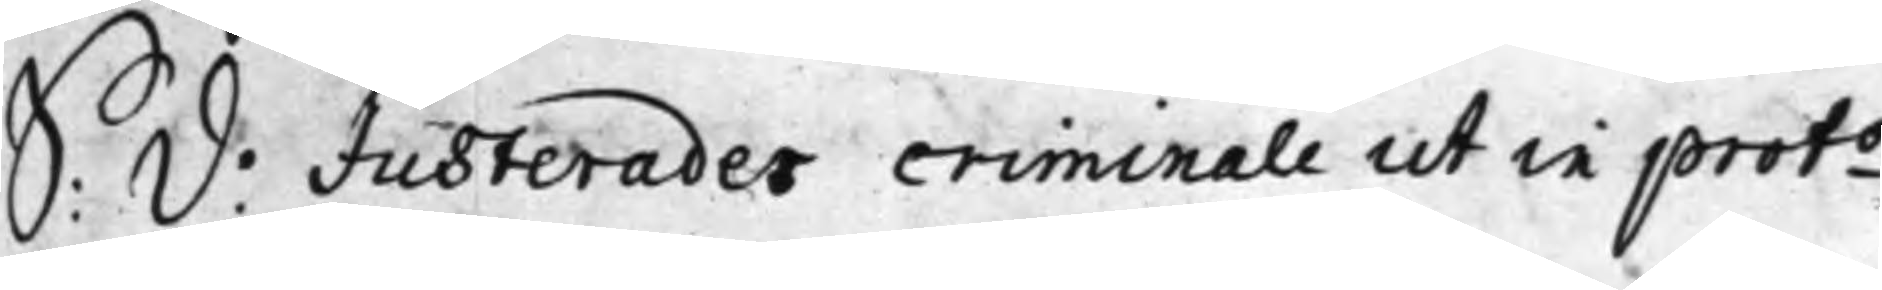S: d: Justerades criminale ut in proto
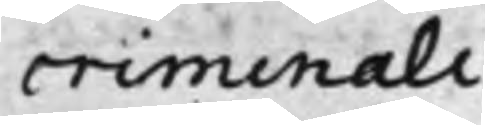criminali
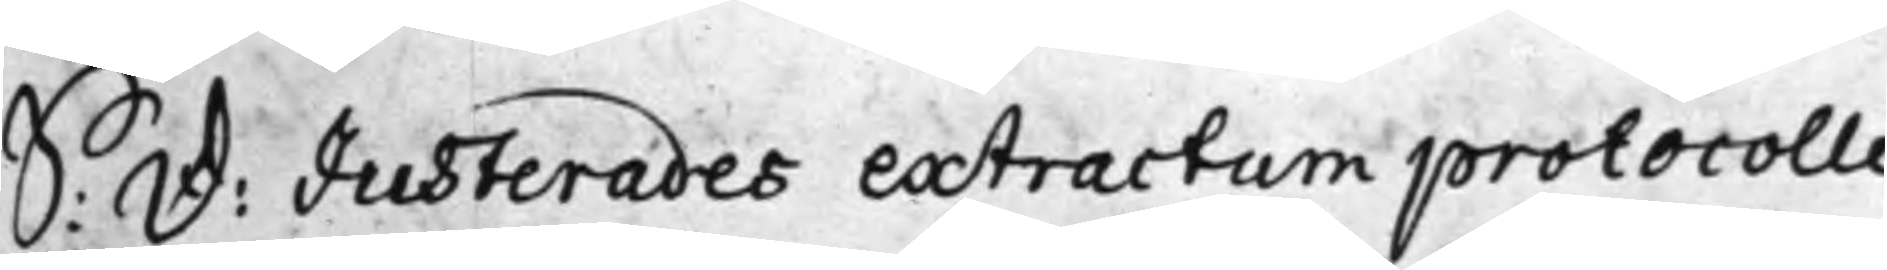S: d: Justerades extractum protocolli
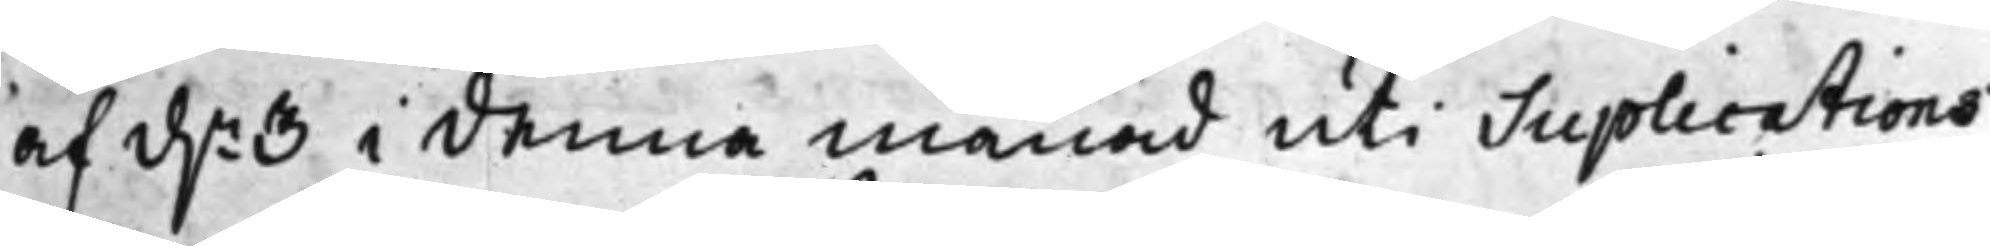af d.n 3 i denna månad uti Suplications
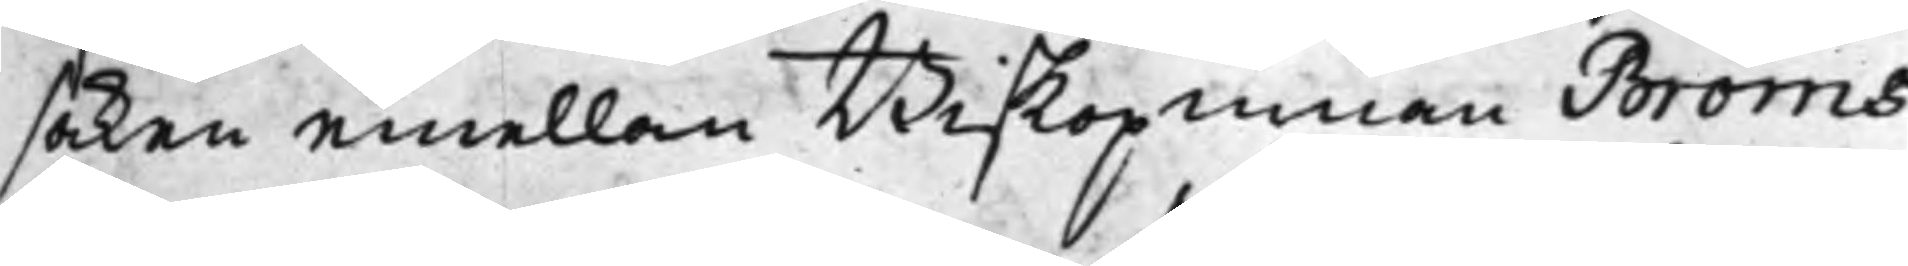saken emellan Biskopinnan Bröms
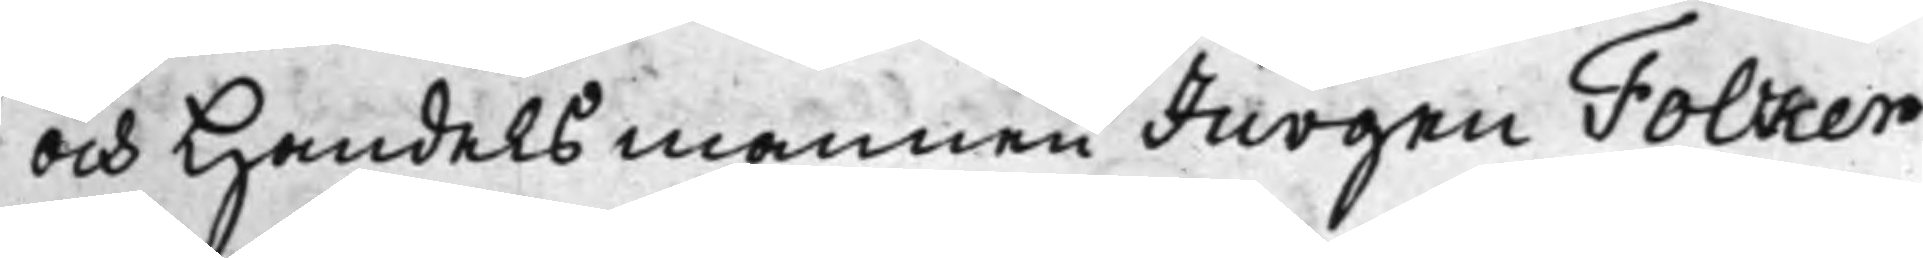och Handelsmannen Jürgen Folcker
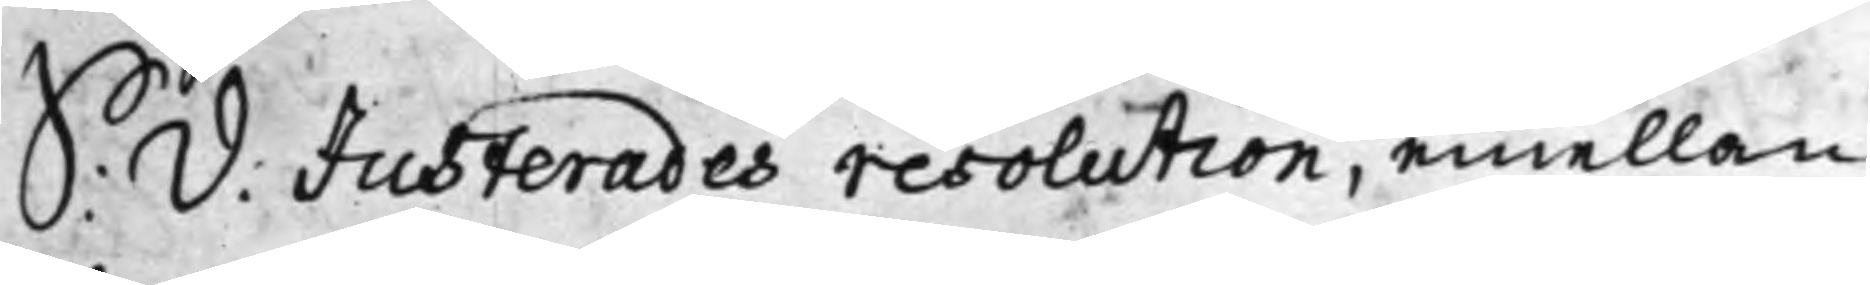S: d: Justerades resolution, emellan
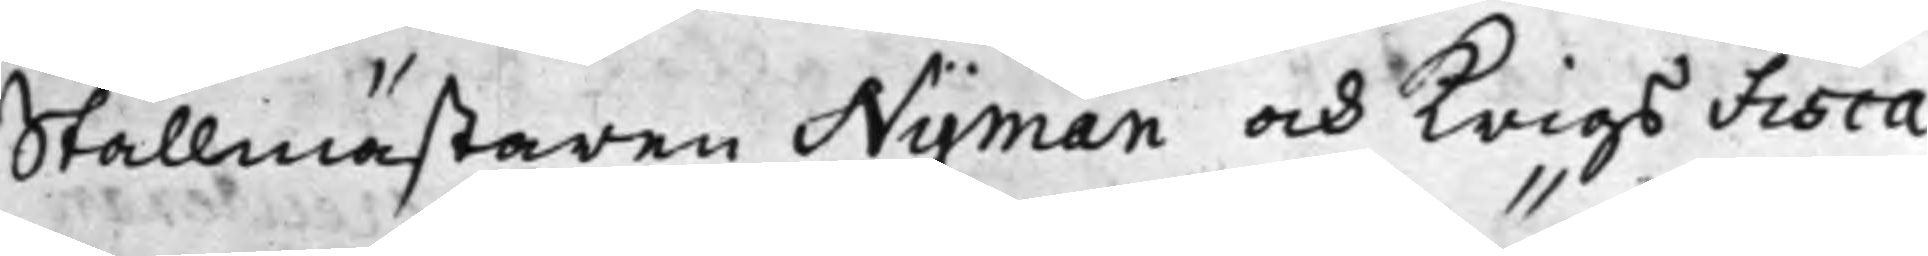Stallmästaren Nyman och Krigs Fisca¬
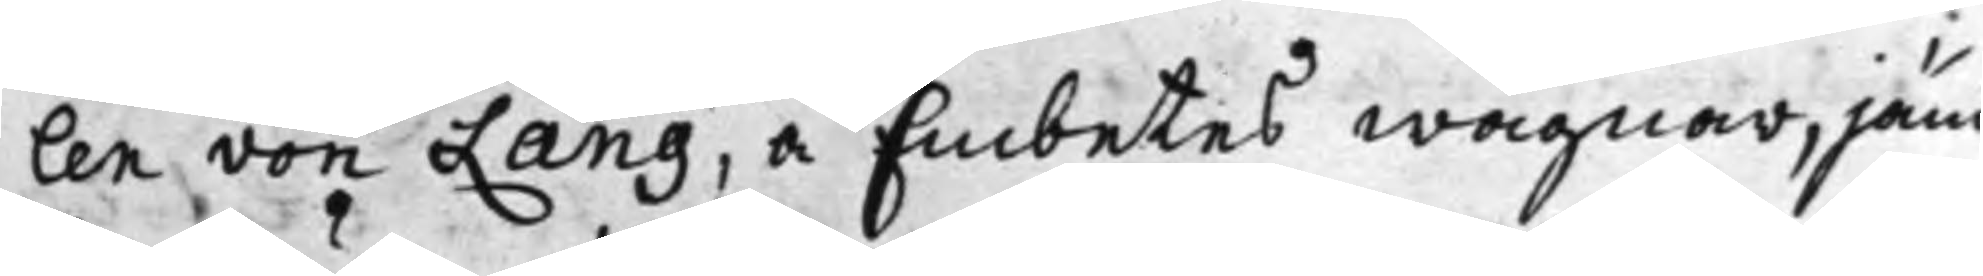len von Lang, å Embetes wägnar, jäm¬
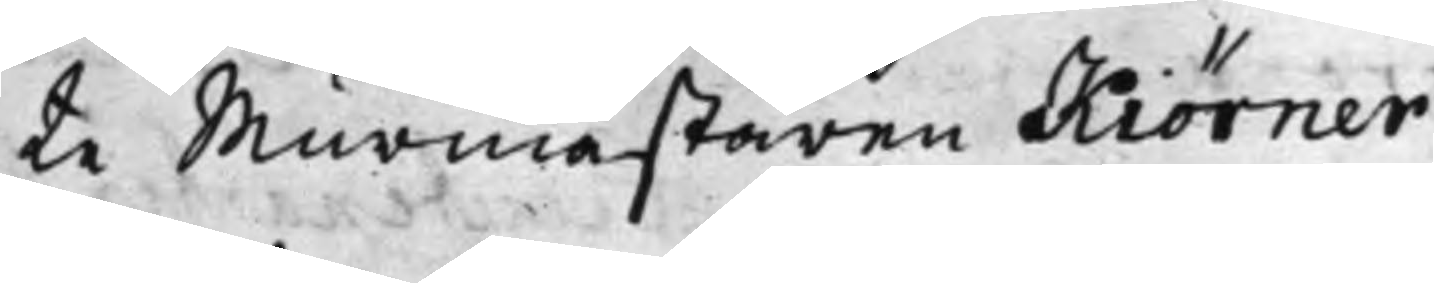te Murmästaren Kiörner
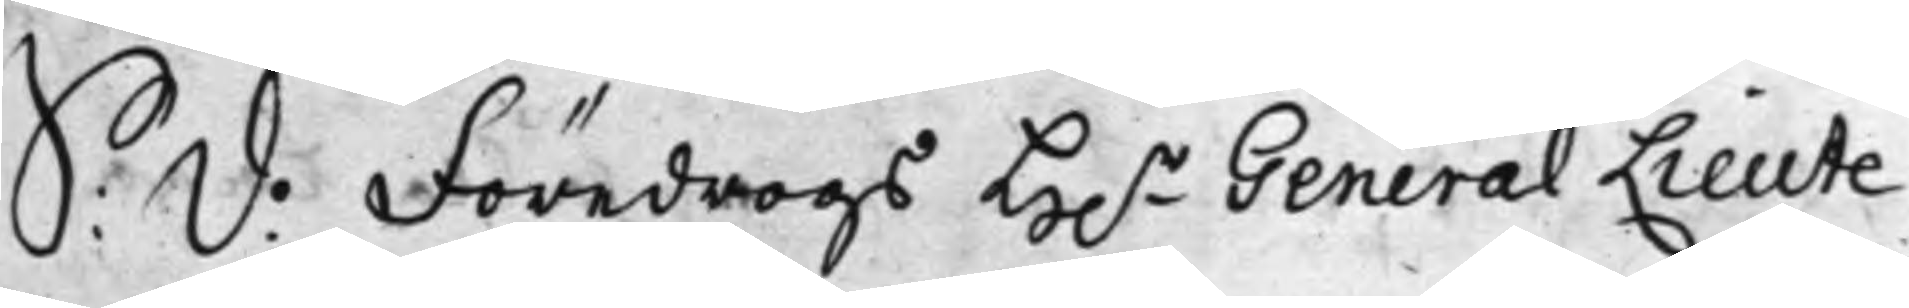S: d: Föredrogs H.r General Lieute¬
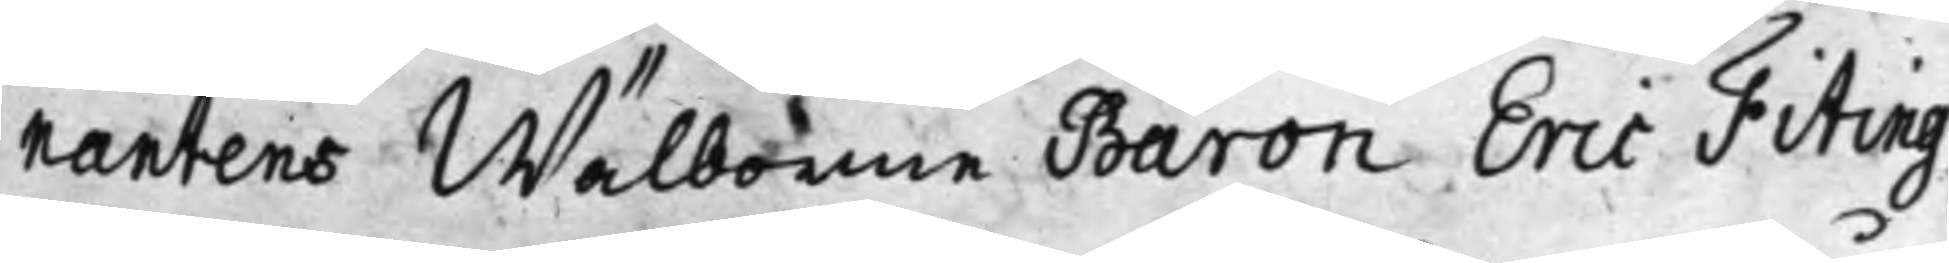nantens Wälborne Baron Eric Fiting¬
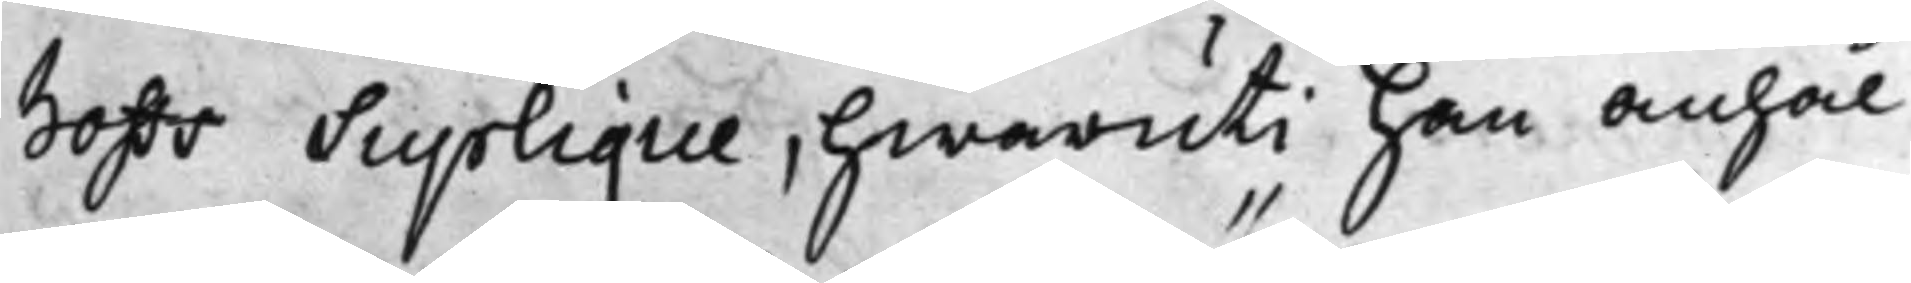hoffs Suplique, hwaruti han anhål¬
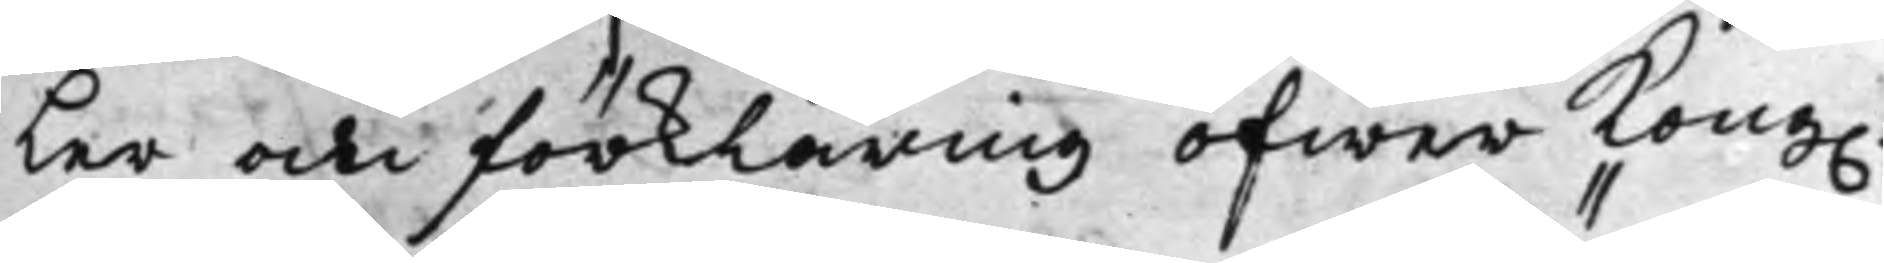Ler om förklaring öfwer Kong.
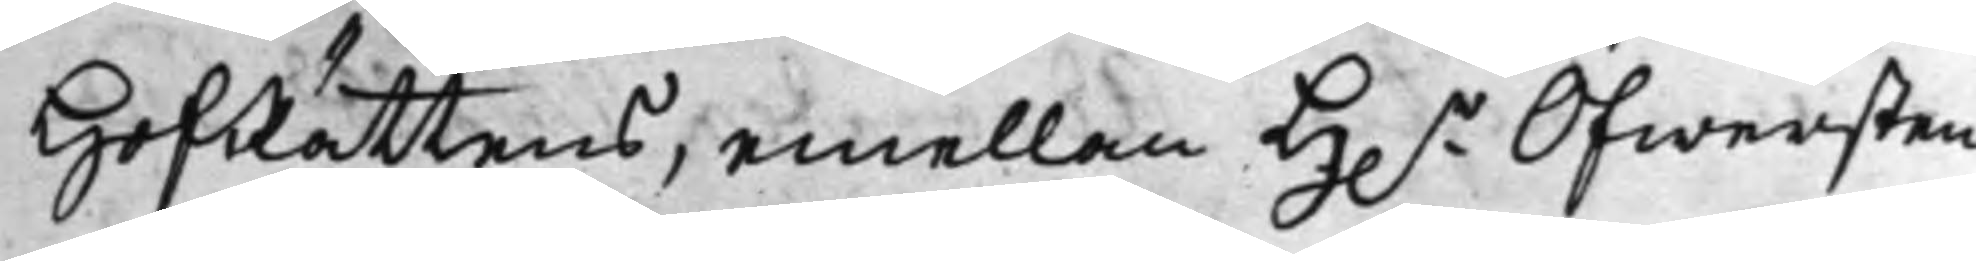HofRättens, emellan H.r Öfwersten
